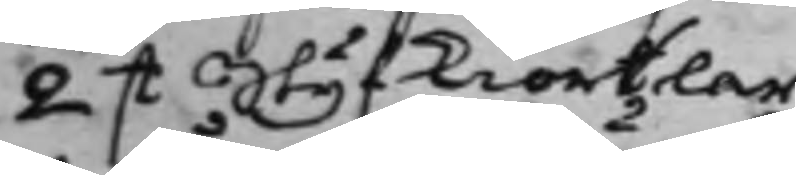2 st Styfkiortlar.
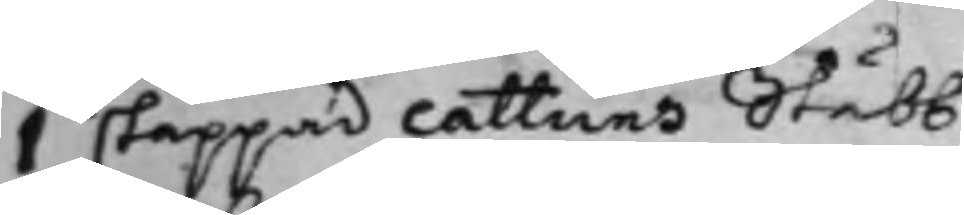1 ståppad cattuns Stubb
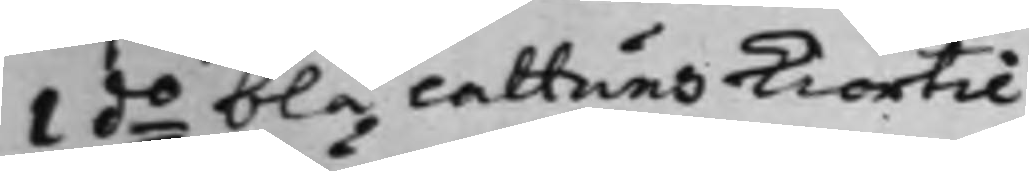1 do blå cattuns Kiortil
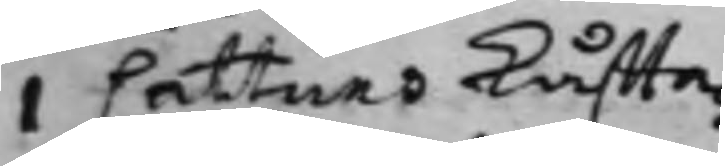i Cattuns Kåffta.
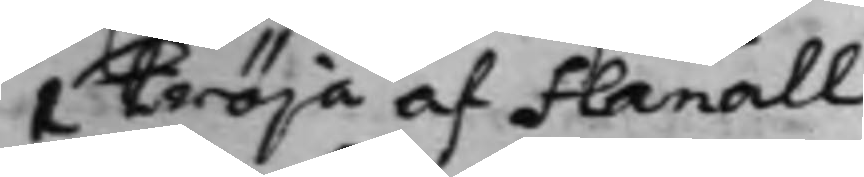1 Tröja af Flanäll.
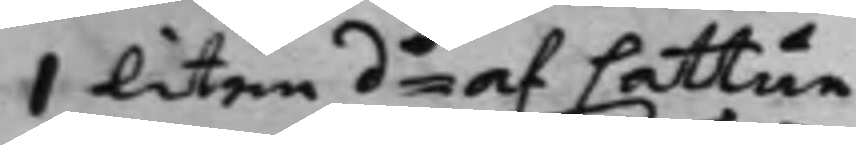1 liten do af Cattun
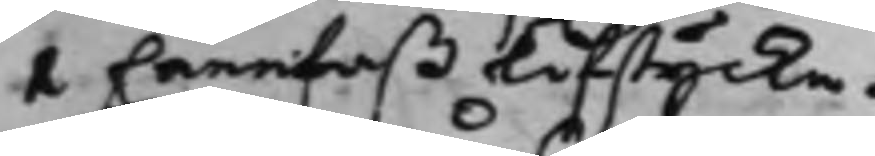1 hannfaß Lifstycke.
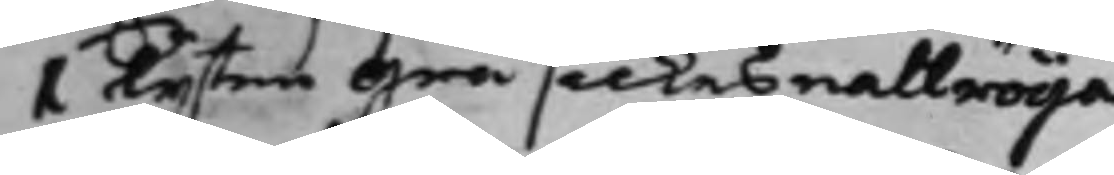1 Lijten Grå silkes nattröija
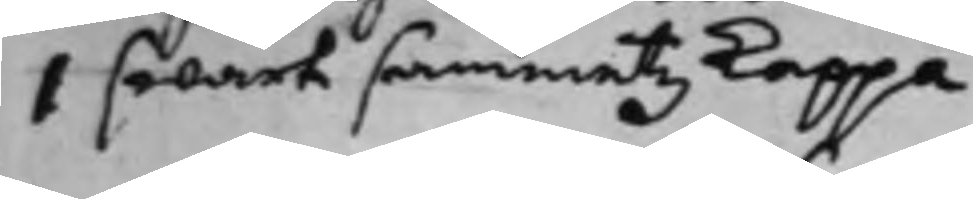1 swart sammetz Kappa.
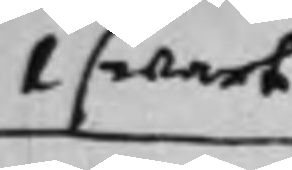1 swart
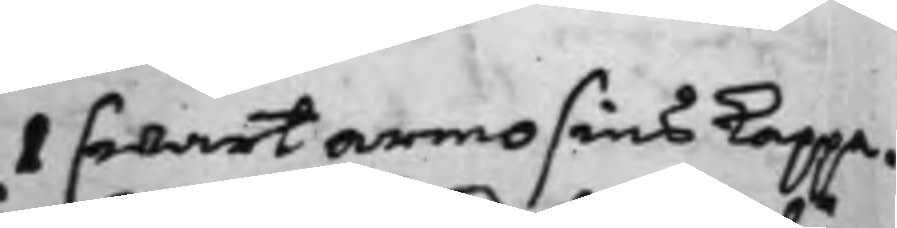1 swart damask Caffakiäng. 1 swart armosins Kappa.
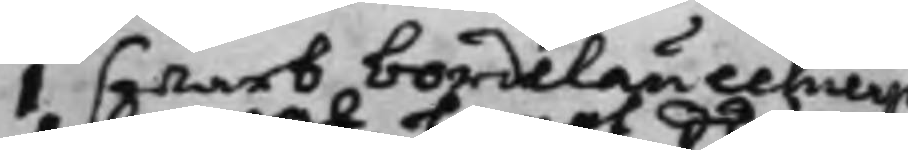1 swart bordelauschierp
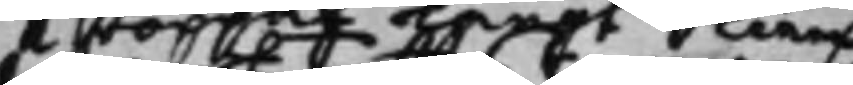1 stoppat Langt Skierp
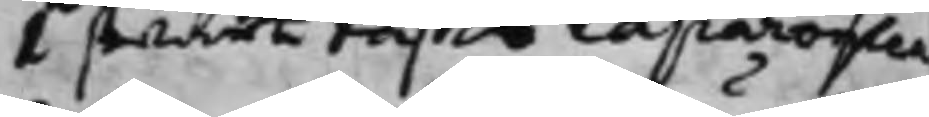1 swart Täffts Caparonica
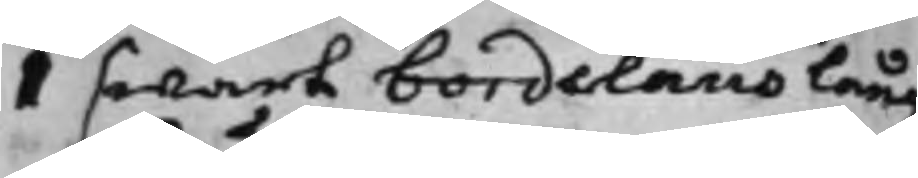1 swart bordelaus lång
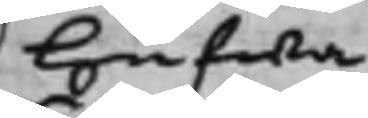hufwa.
